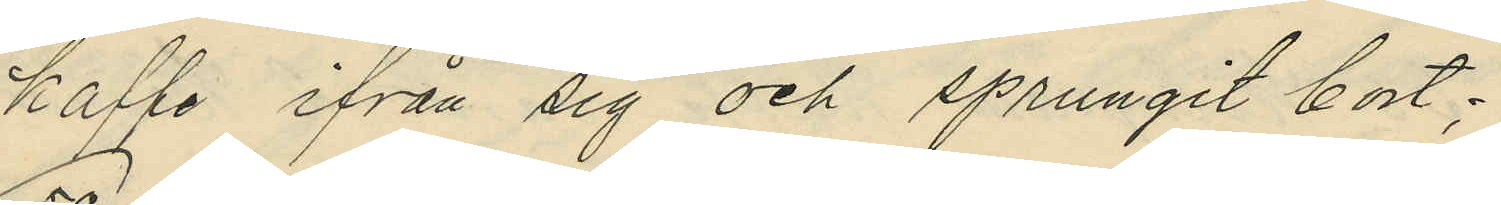kaffe ifrån sig och sprungit bort;
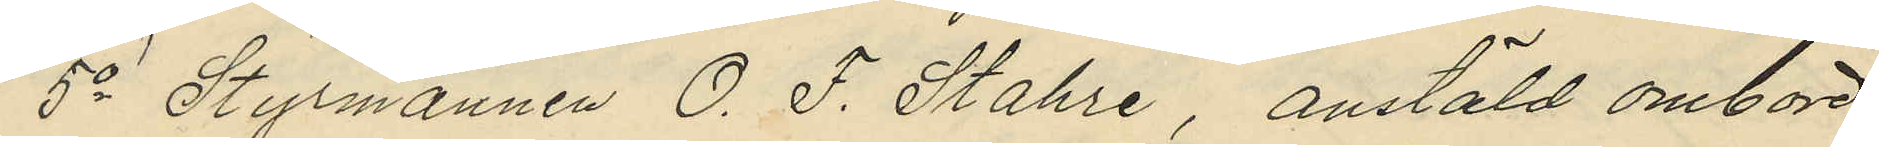5o Styrmannen O. F. Stahre, anstäld ombord
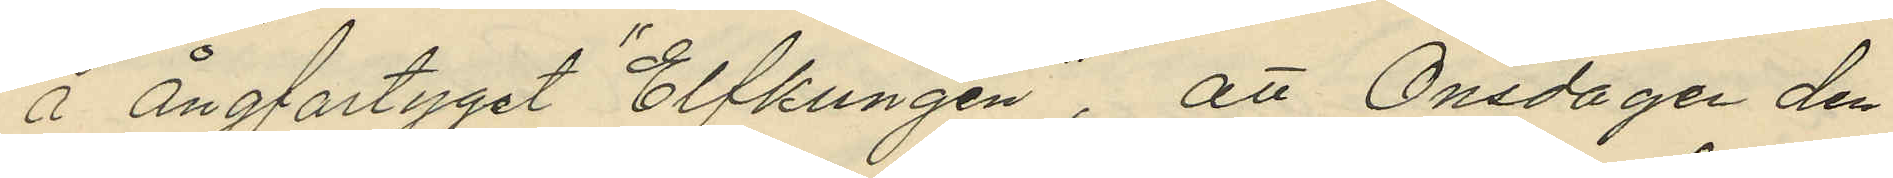å ångfartyget "Elfkungen", att Onsdagen den
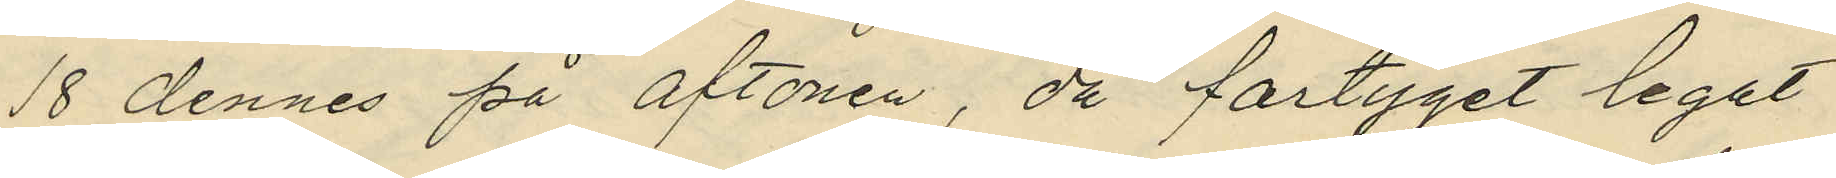18 dennes på aftonen, då fartyget legat
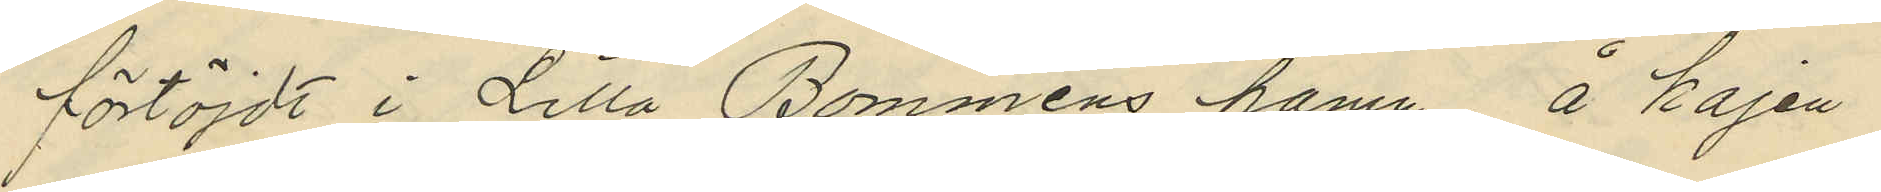förtöjdt i Lilla Bommens hamn, å kajen
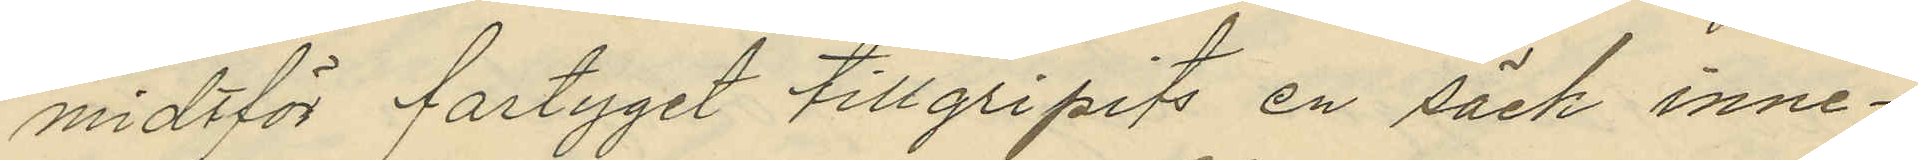midtför fartyget tillgripits en säck inne¬
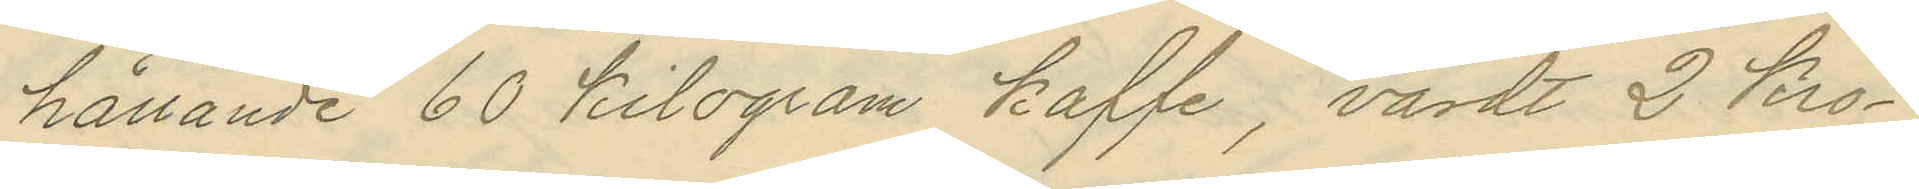hållande 60 kilogram kaffe, värdt 2 kro¬
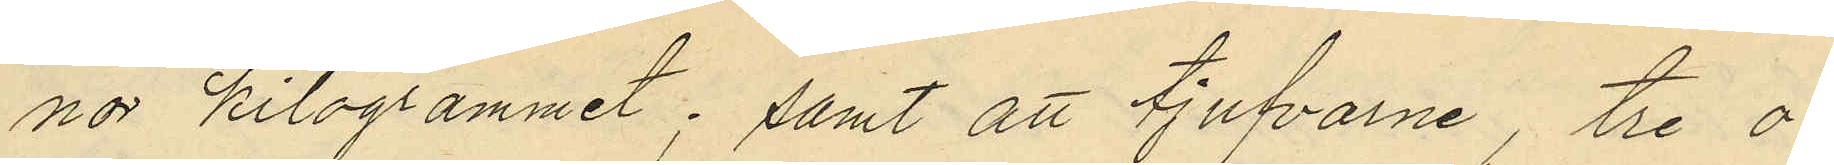nor kilogrammet; samt att tjufvarne, tre o¬
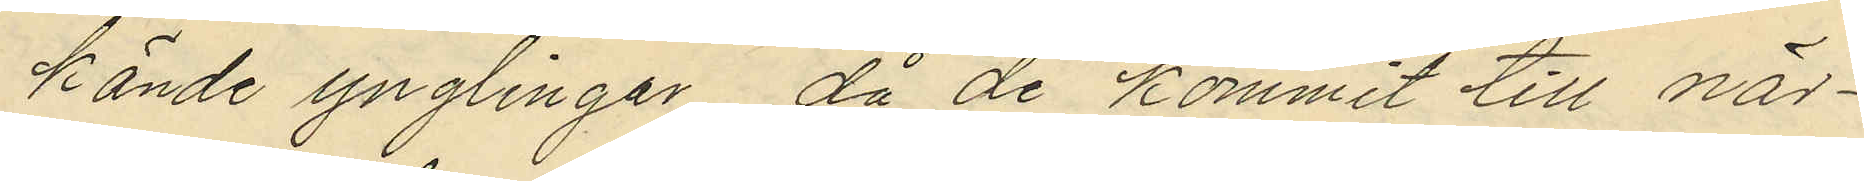kände ynglingar, då de kommit till när¬
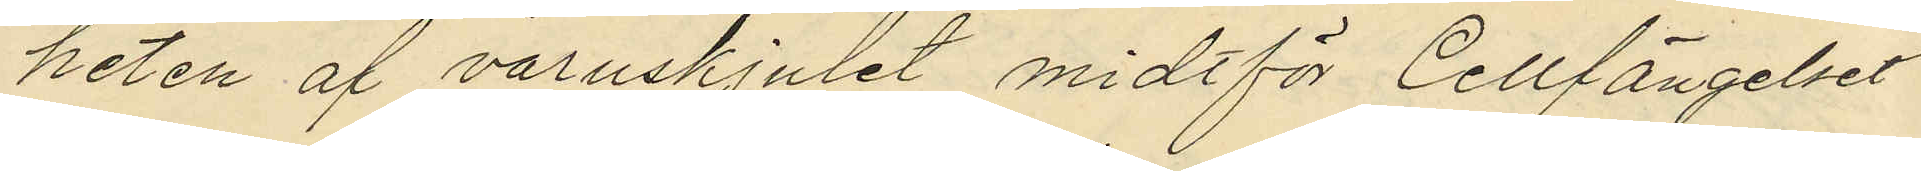heten af varuskjulet midtför Cellfängelset
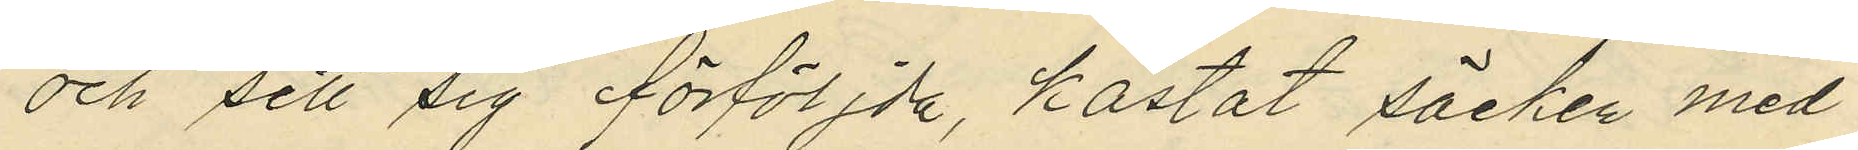och sett sig förföljda, kastat säcken med
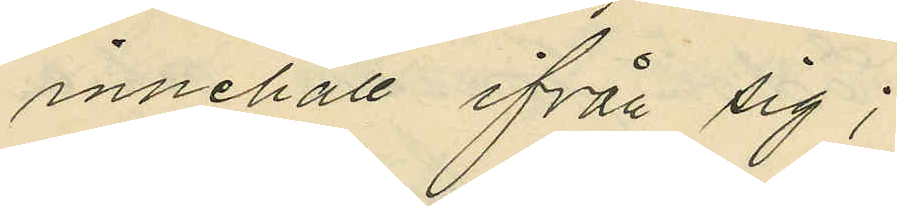innehåll ifrån sig;
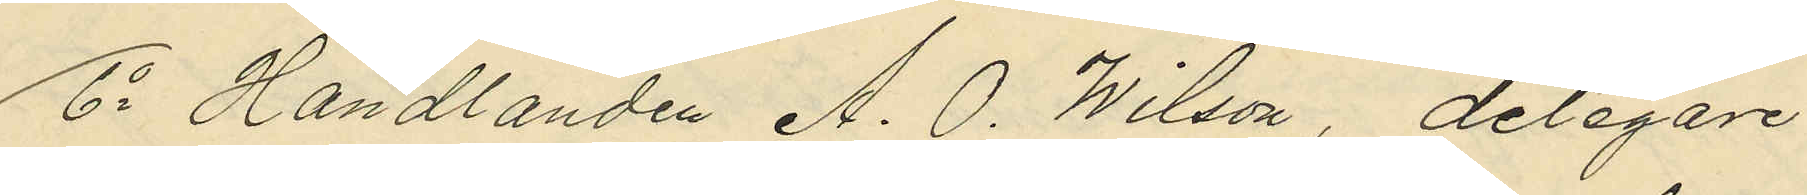6o Handlanden A. O. Wilson, delegare
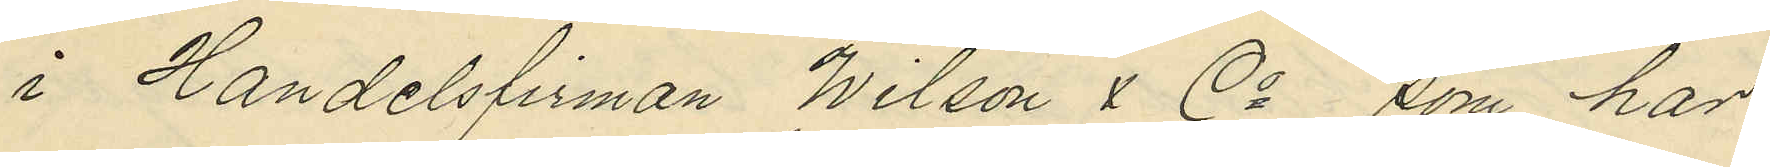i Handelsfirman Wilson & Co, som har
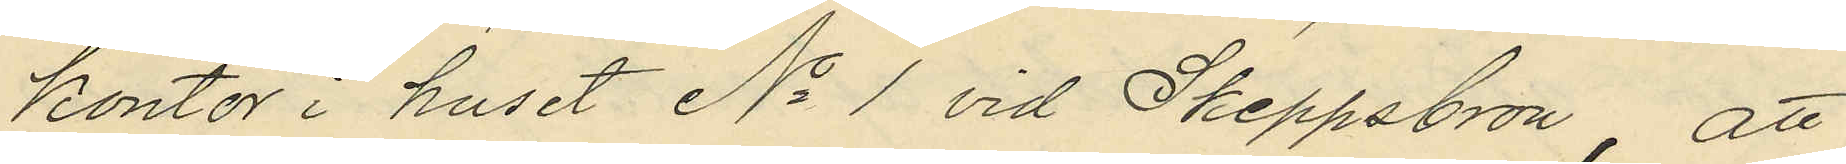kontor i huset No 1 vid Skeppsbron, att
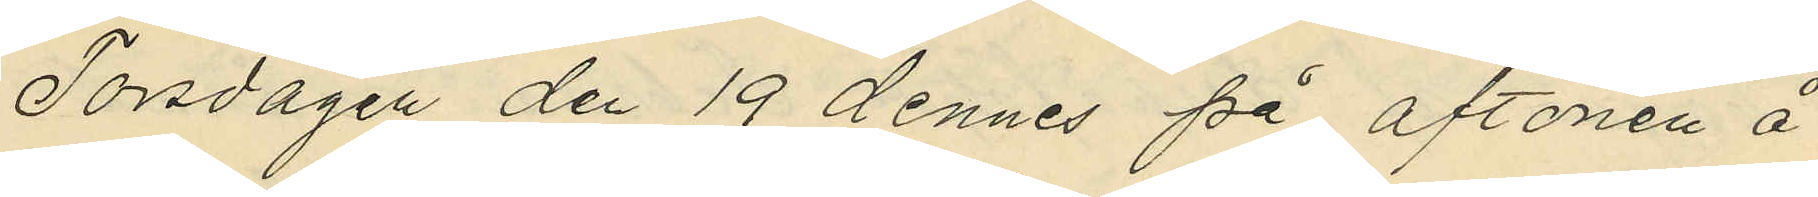Torsdagen den 19 dennes på aftonen å
